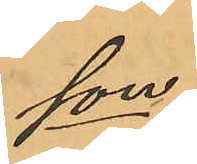son:
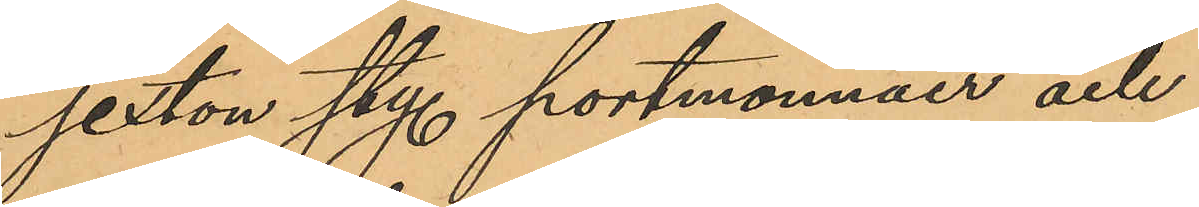sexton sty. portmonnäer och
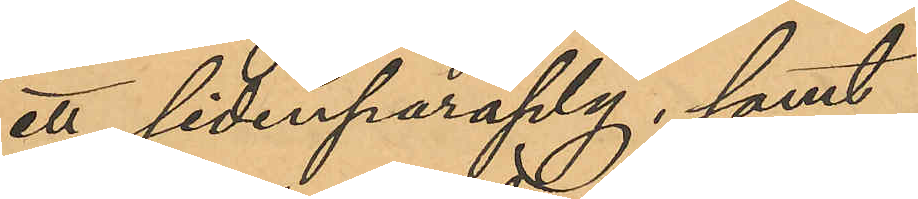ett sidenparaply, samt
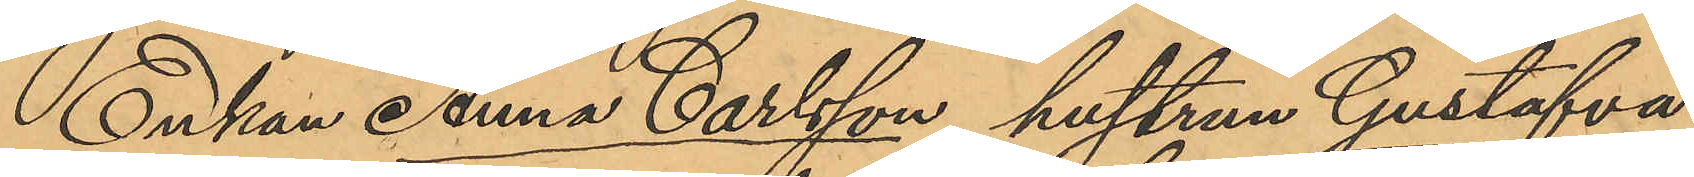Enkan Anna Carlsson, hustrun Gustafva
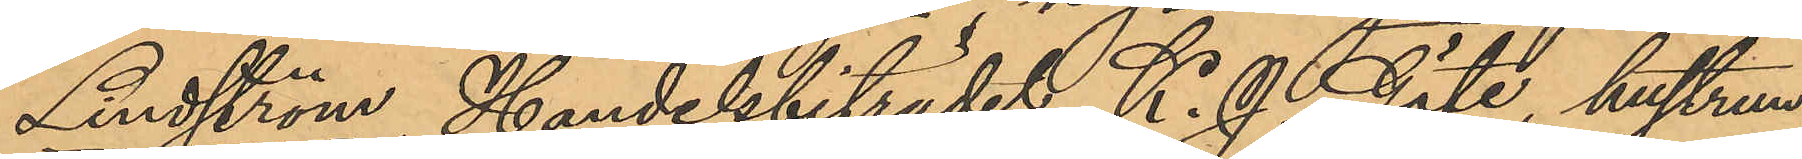Lindström, Handelsbiträdet K. J. Göte, hustrun
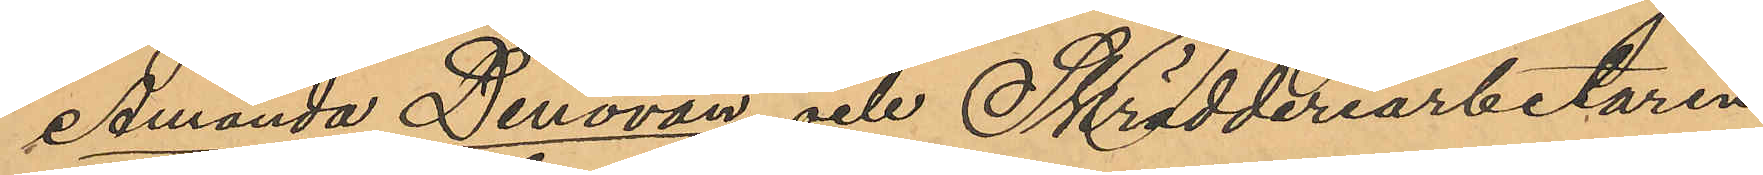Amanda Denovan och Skrädderiarbetaren
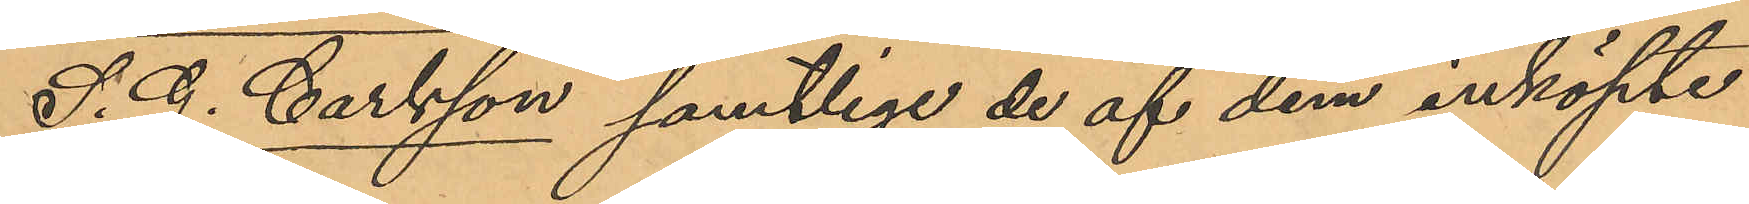S. G. Carlsson samtlige de af dem inköpte
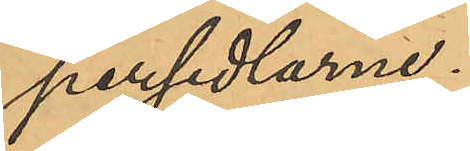persedlarne.
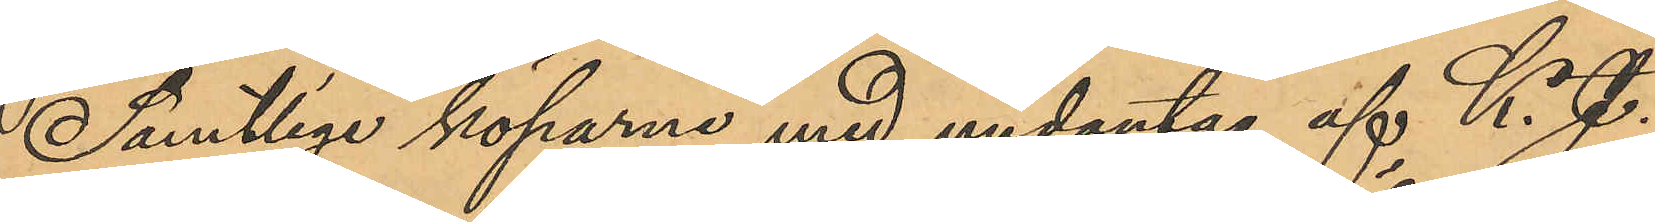Samtliga köparne med undantag af K. J.
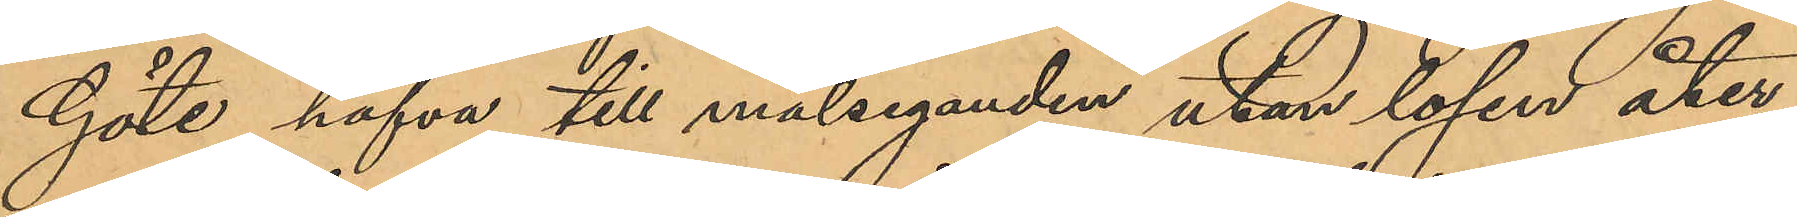Göte hafva till målseganden utan lösen åter¬
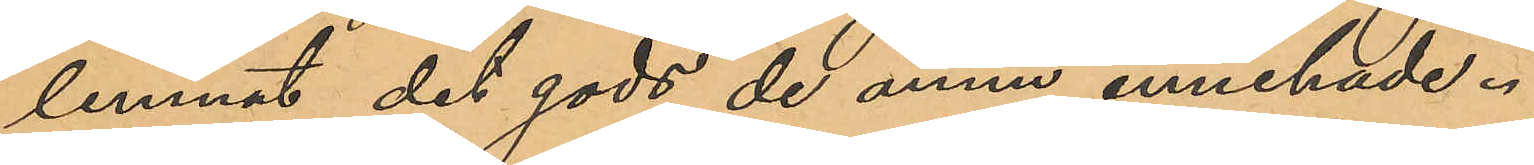lemnat det gods de ännu innehade.
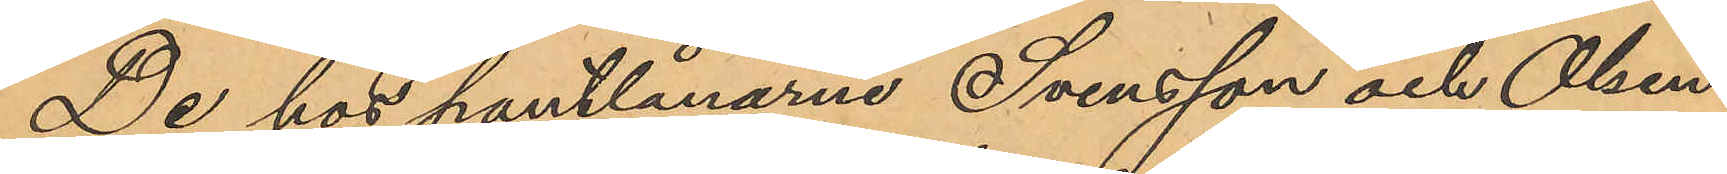De hos pantlånarne Svensson och Olsen
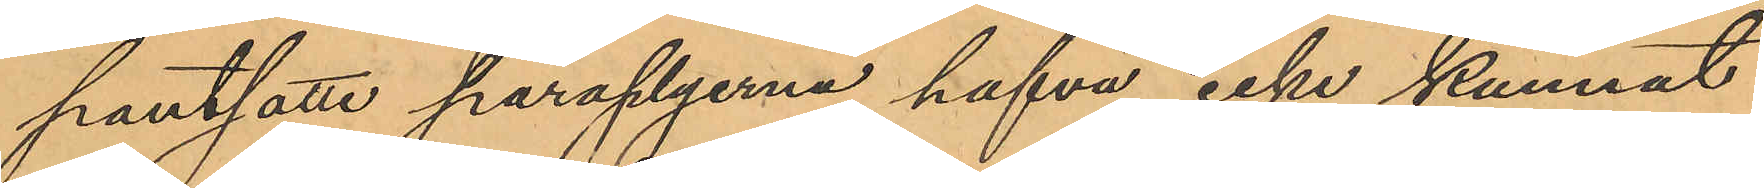pantsatta paraplyerna hafva icke kunnat
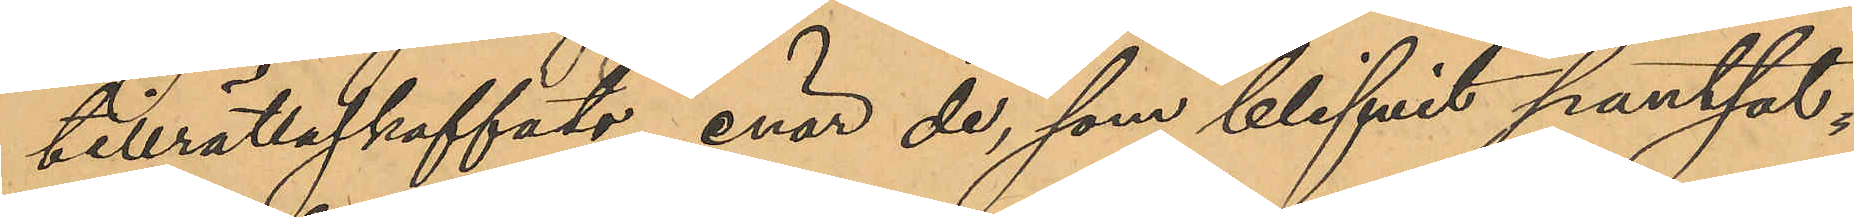tillrättaskaffats, enär de, som blifvit pantsat¬
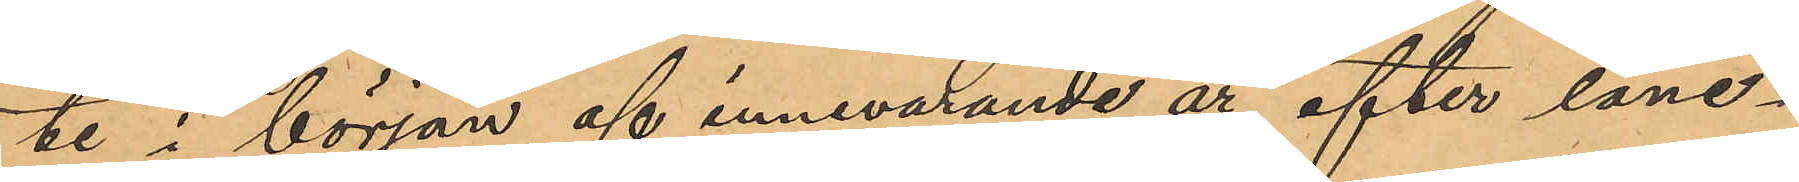te, i början af innevarande år, efter låne¬
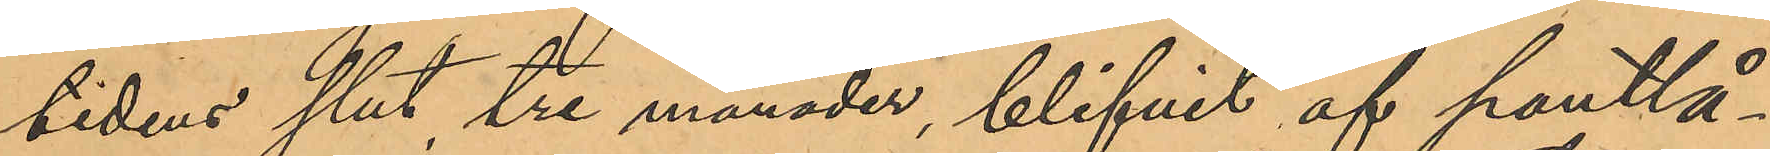tidens slut tre månader, blifvit af pantlå¬
